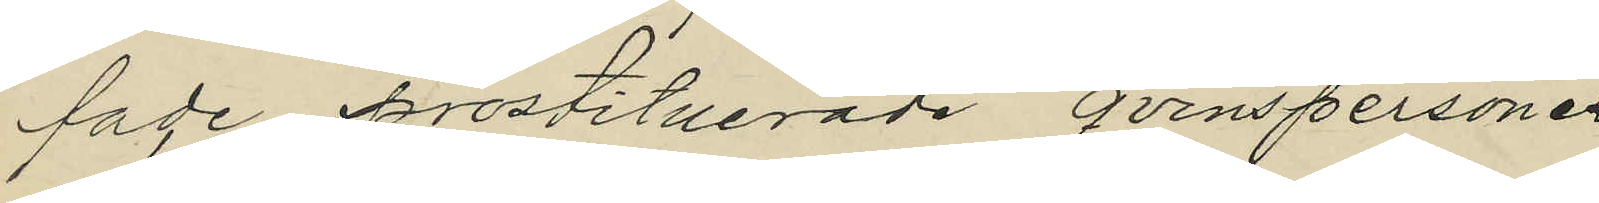fade prostituerade qvinspersone¬
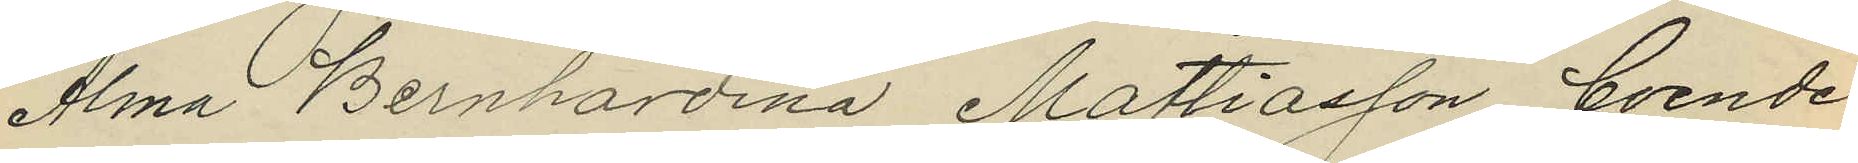Alma Bernhardina Mattiasson, boende
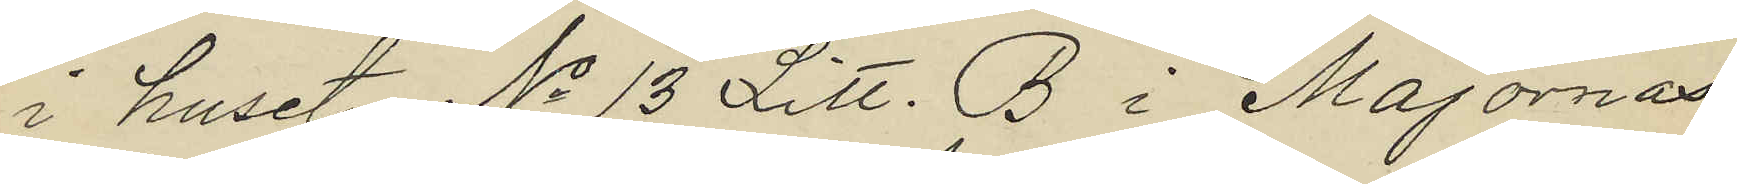i huset No 13 Litt. B i Majornas
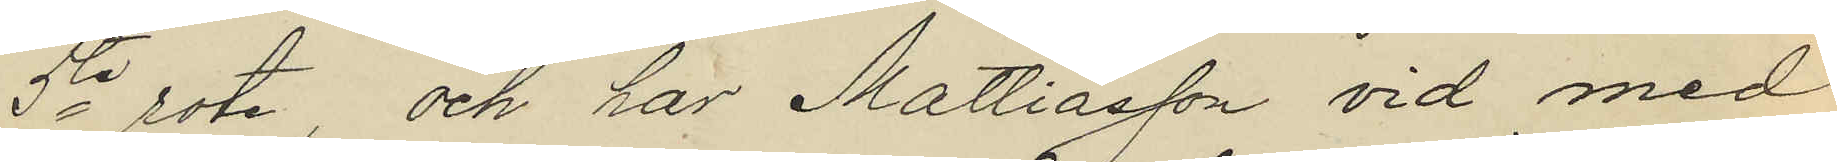5te rote, och har Mattiasson vid med
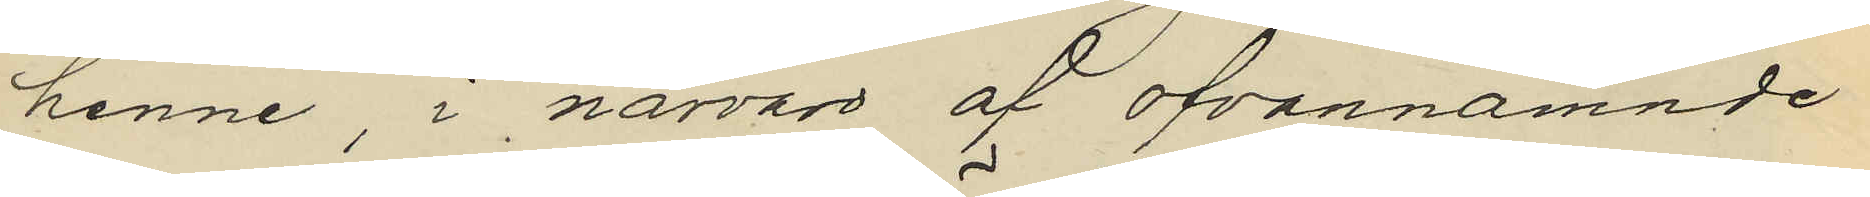henne i närvaro af ofvannämnde
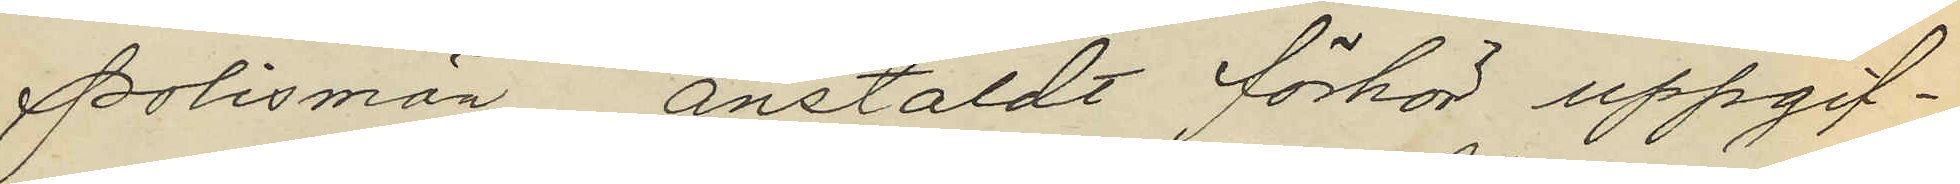polismän, anstäldt förhör uppgif¬
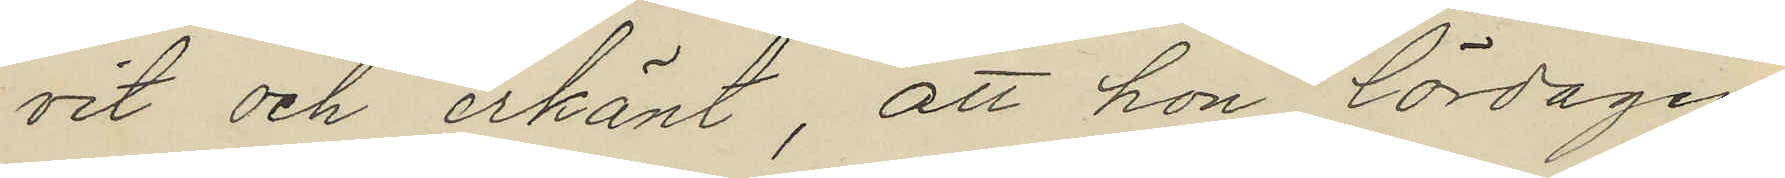vit och erkänt, att hon lördagen
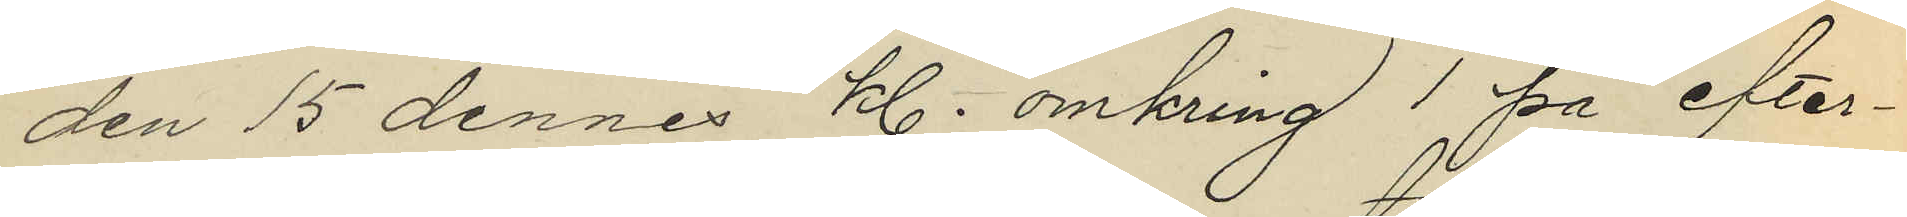den 15 dennes kl. omkring 1 på efter¬
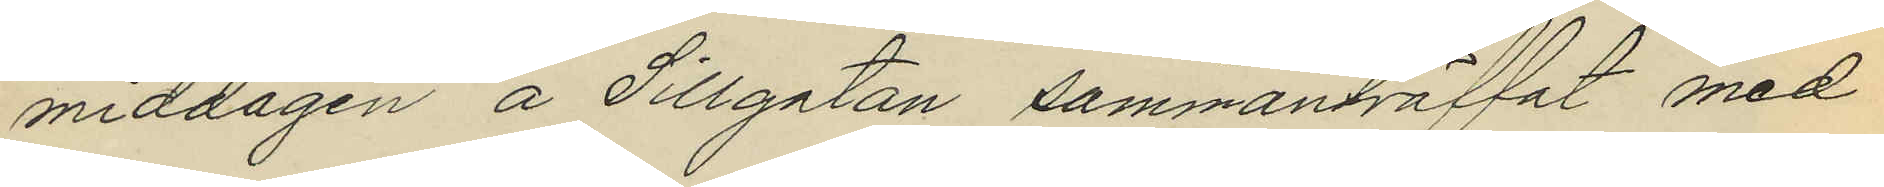middagen å Sillgatan sammanträffat med
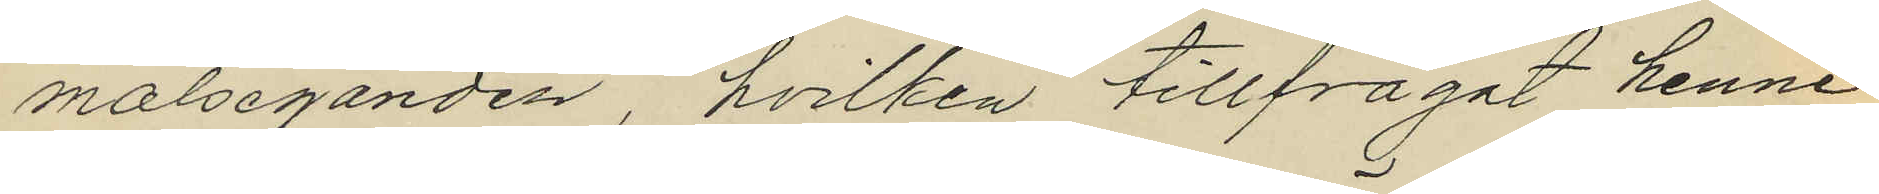målseganden, hvilken tillfrågat henne
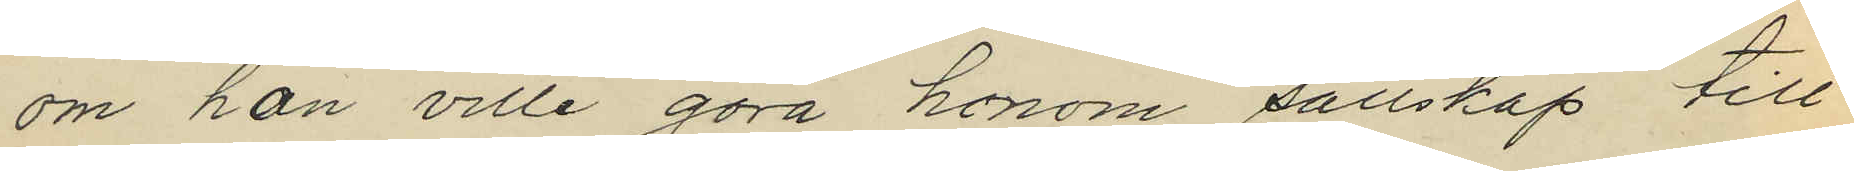om hon ville göra honom sällskap till
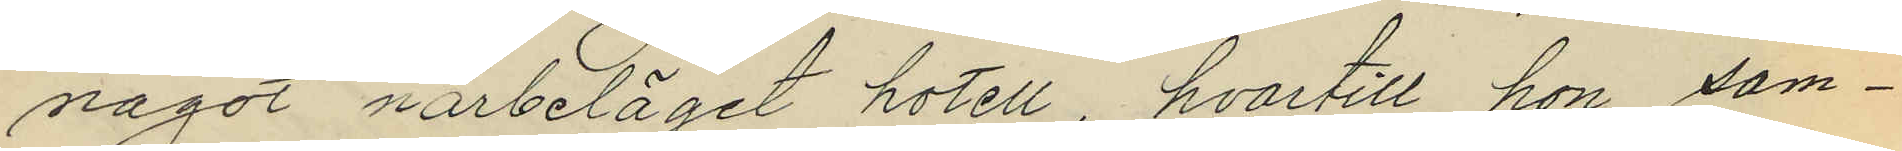något närbeläget hotell, hvartill hon sam¬
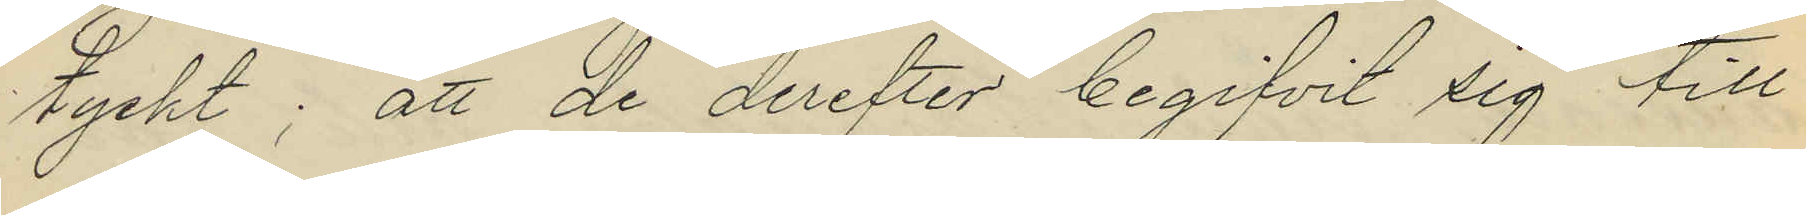tyckt; att de derefter begifvit sig till
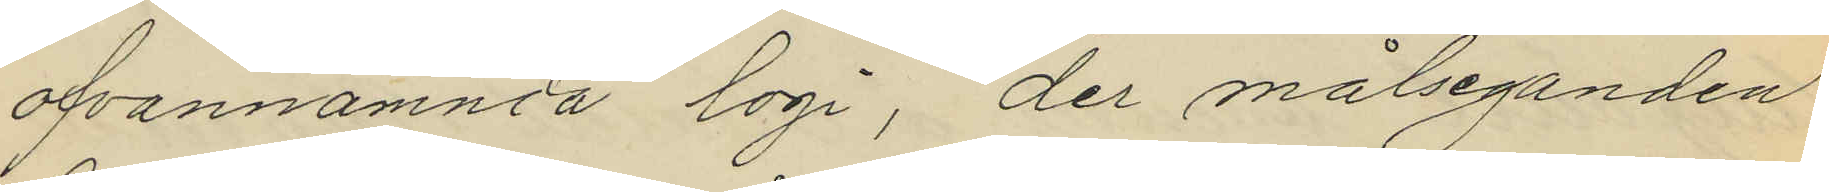ofvannämnda logi, der målseganden
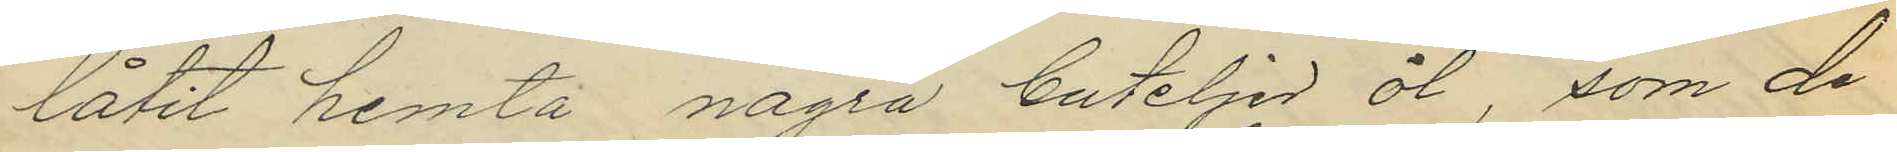låtit hemta några buteljer öl, som de
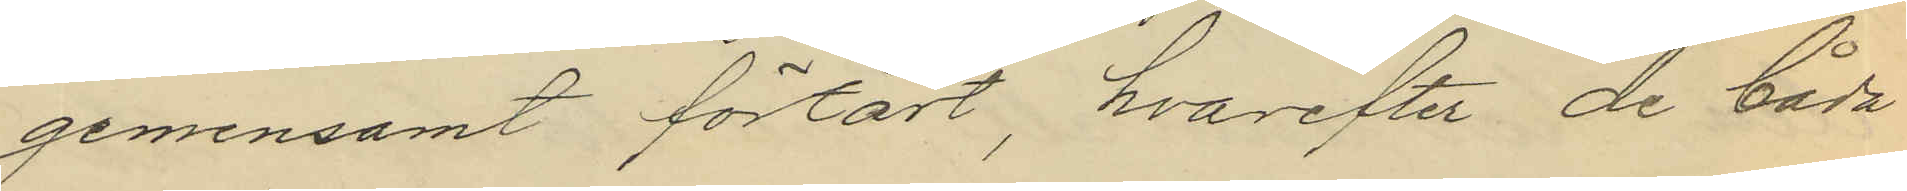gemensamt förtärt, hvarefter de båda
